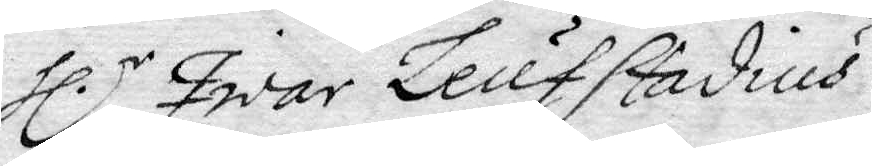Hl.r Iwar Leufstadius.
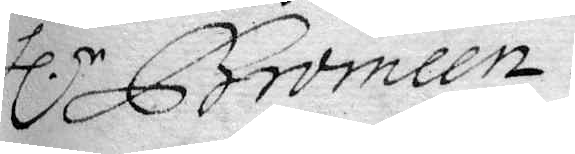Hl.r Bromeen.
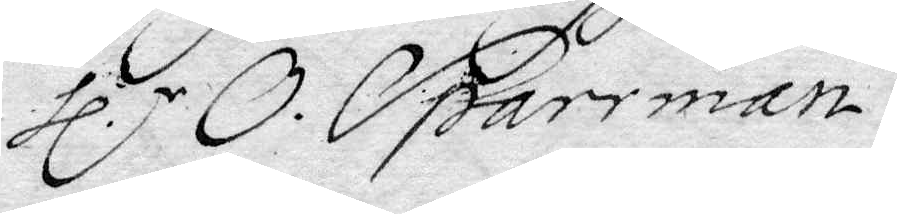Hl.r O. Sparrman.
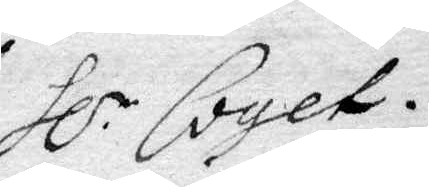Hl.r Coyet
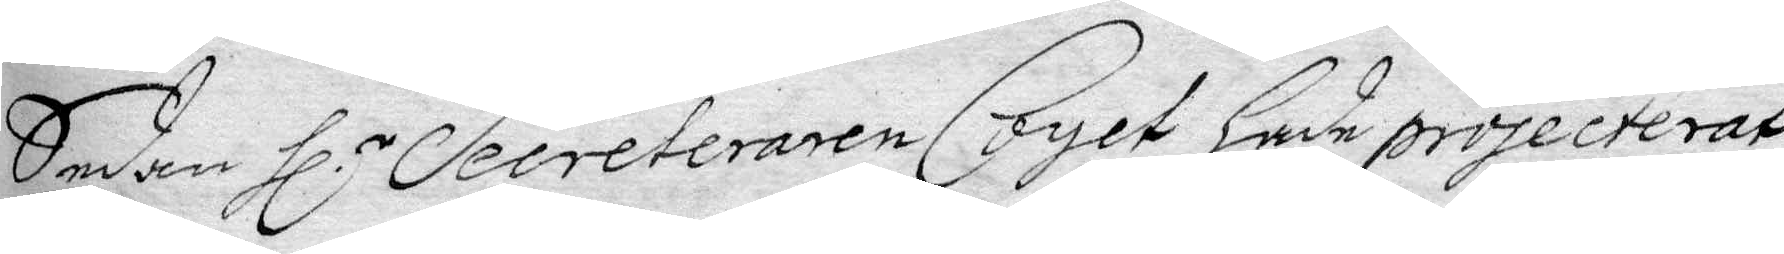Sedan Hl.r Secreteraren Coyet hade projecterat
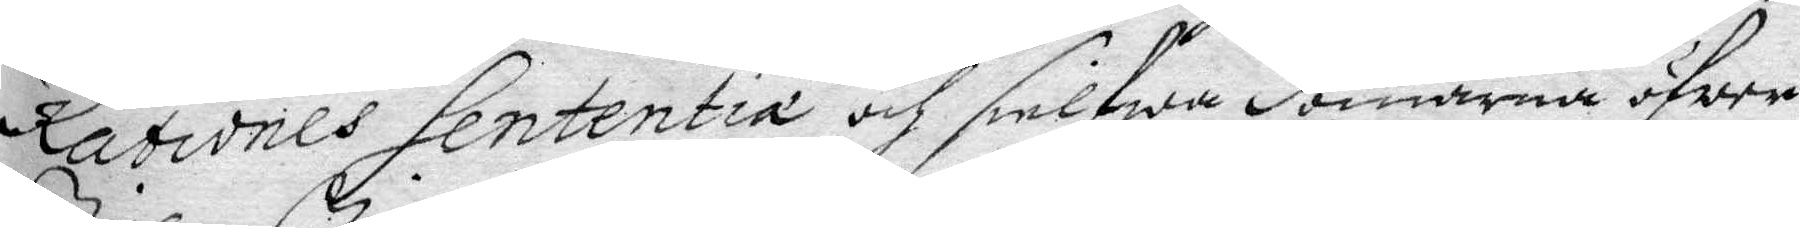Rationes Sententia och sielfwa domarna öfwer
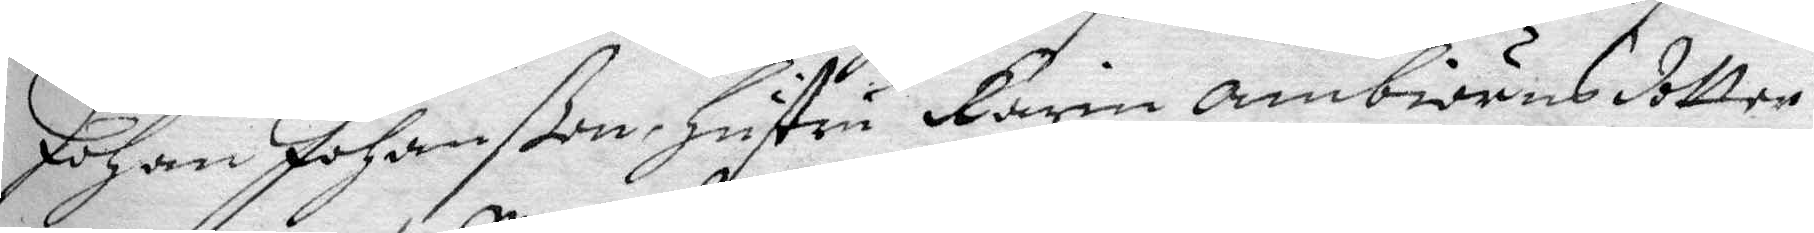Johan Johanßon, Hustru Karin ambiörnsdotter
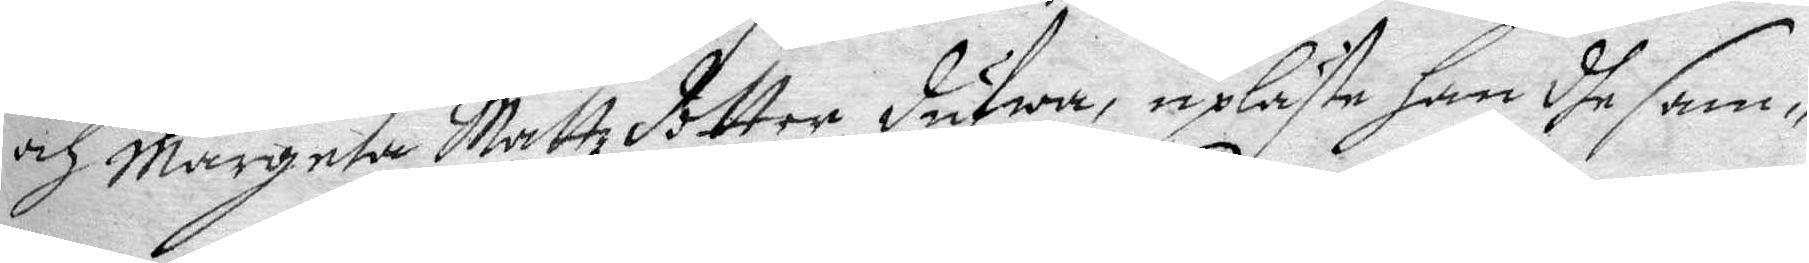och Margeta Mattzdotter dufwa, upläste Han dhe sam¬
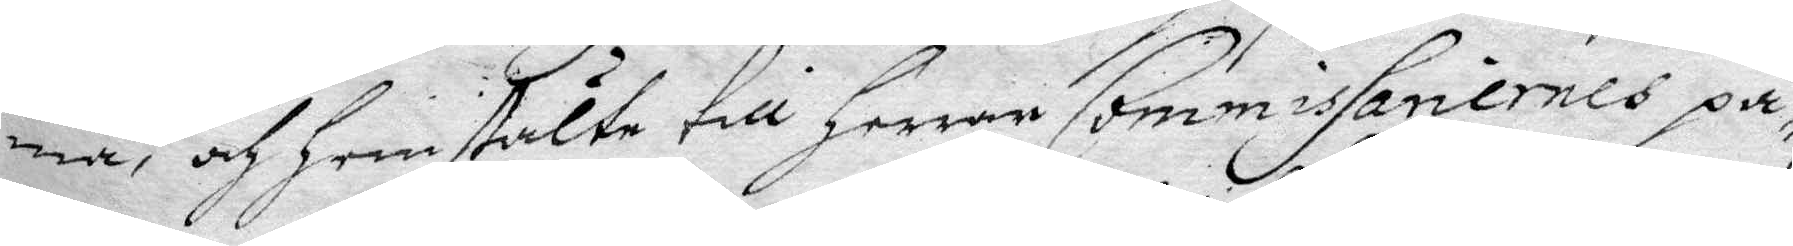ma, och Hemstälte till Herrar Commissanernes på¬
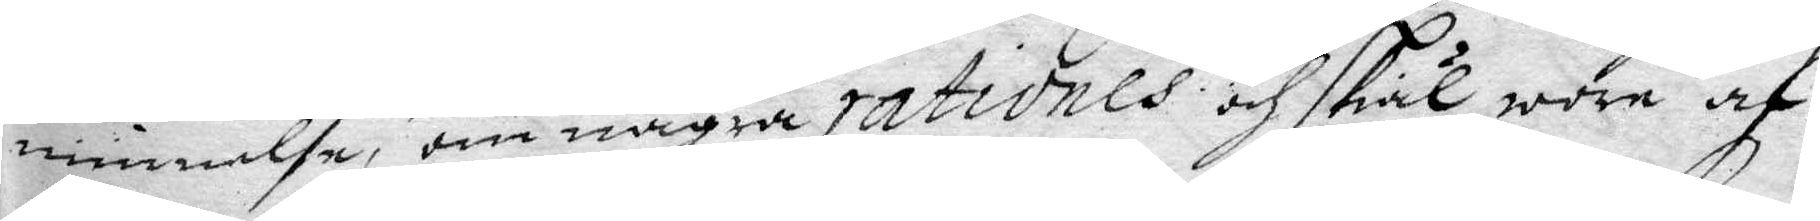minnelse, om några rationes och skäl woew af
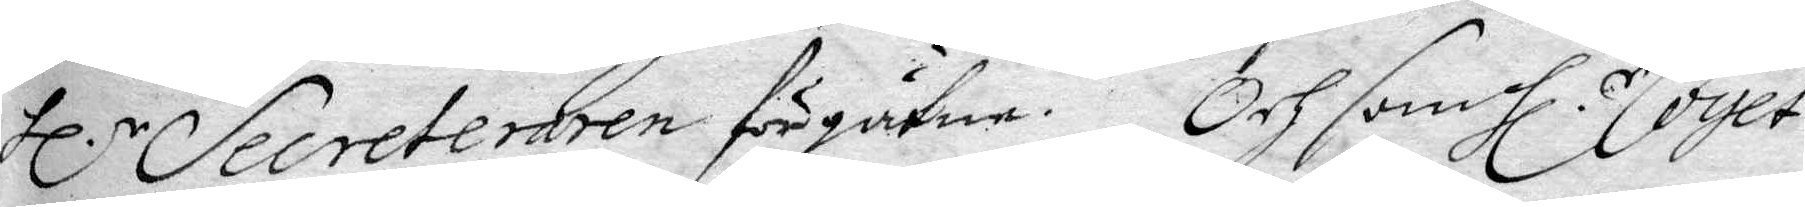Hl.r Secreteraren förgätne. Och som Hl.r Coyet
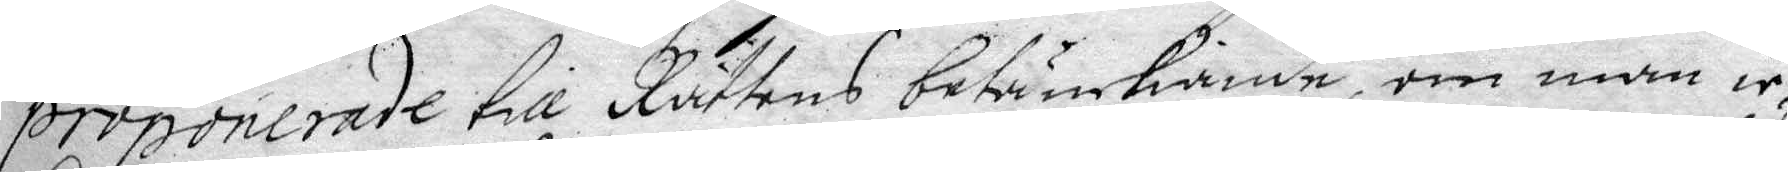proponerade till Rättens betänkiande, om man ic¬
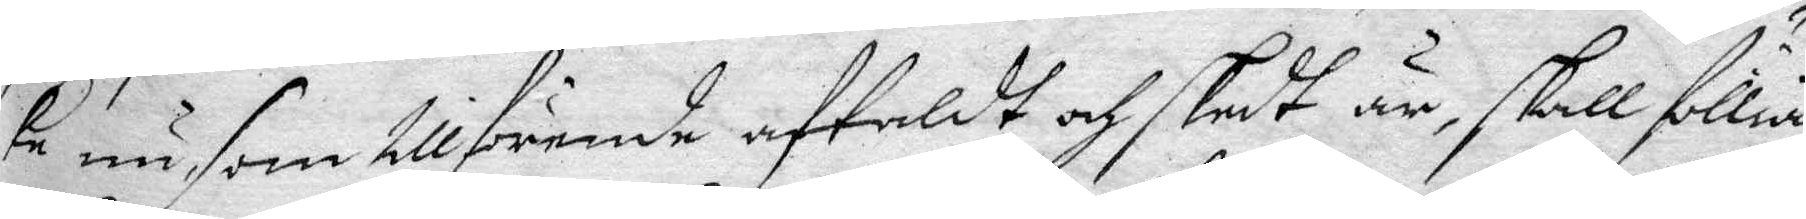ke nu, som tillförende aftaldt och skedt är, skall föllia
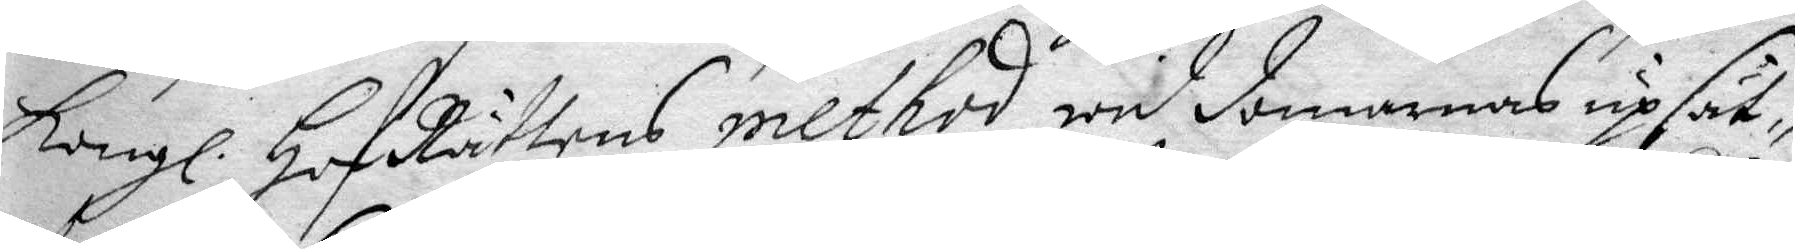Kongl. HofRättens method wid domarnas upsät¬
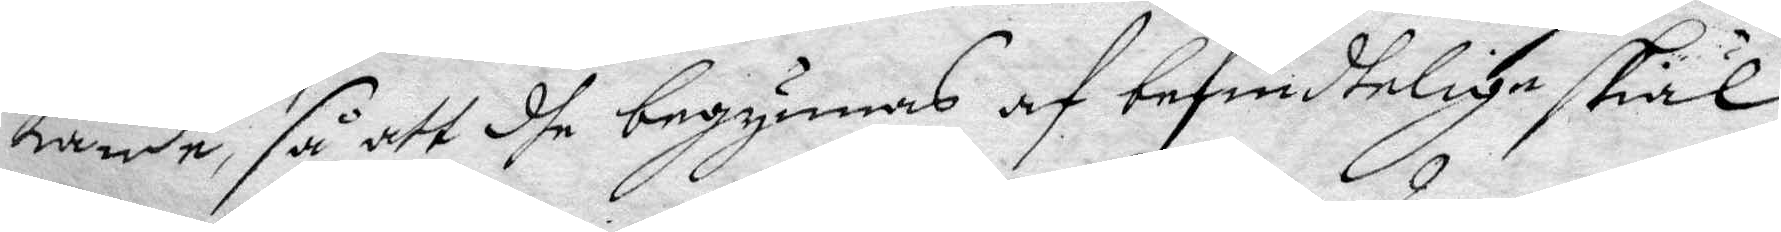tande, så att dhe begynnes af befindtelige skiäl
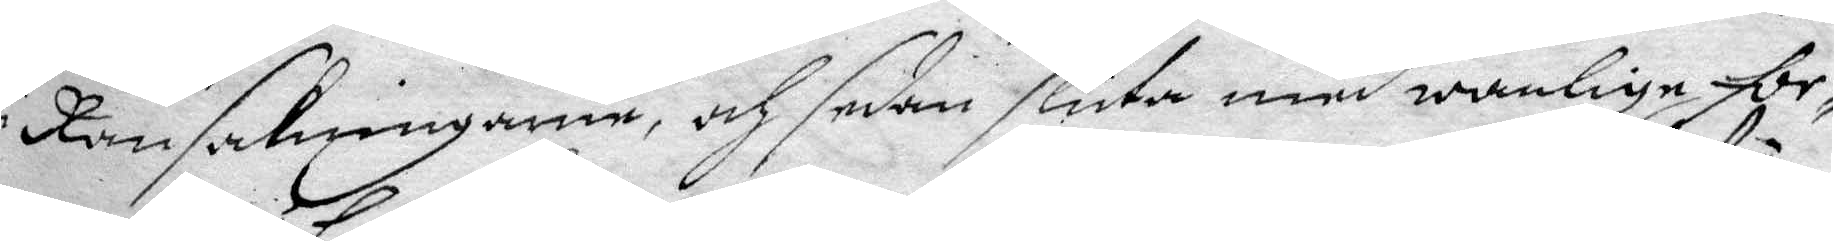i Ransakningarne och sedan sluta med wanlige for¬
